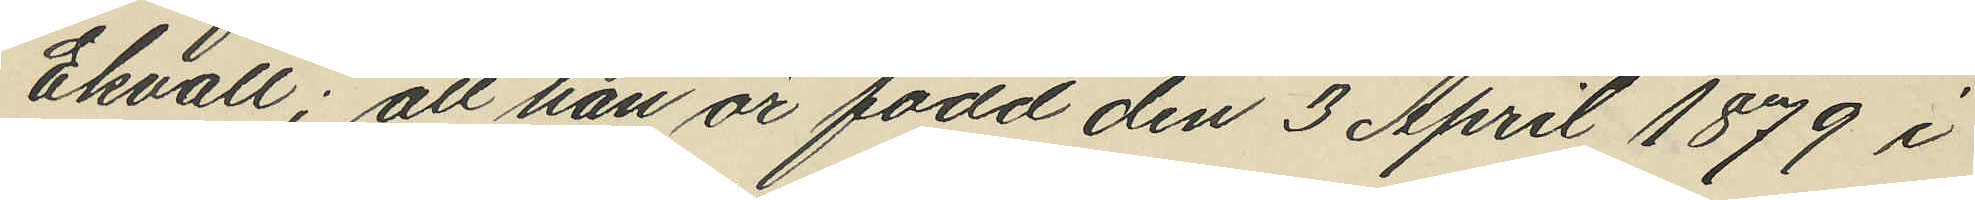Ekvall; att han är född den 3 April 1879 i
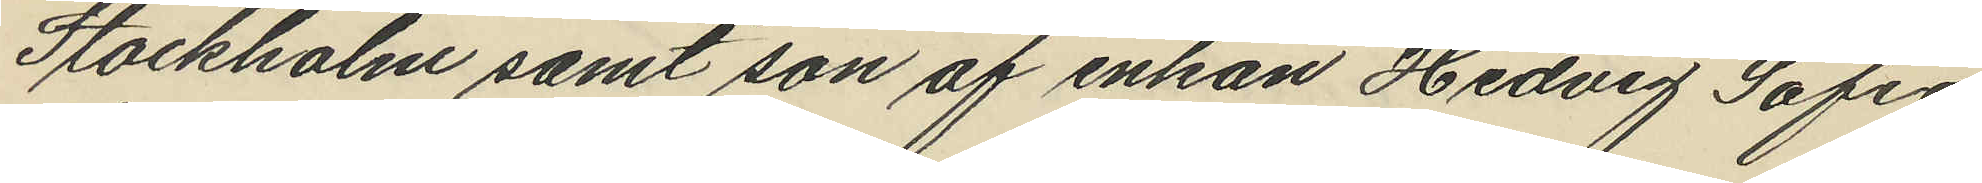Stockholm samt son af enkan Hedvig Sofia
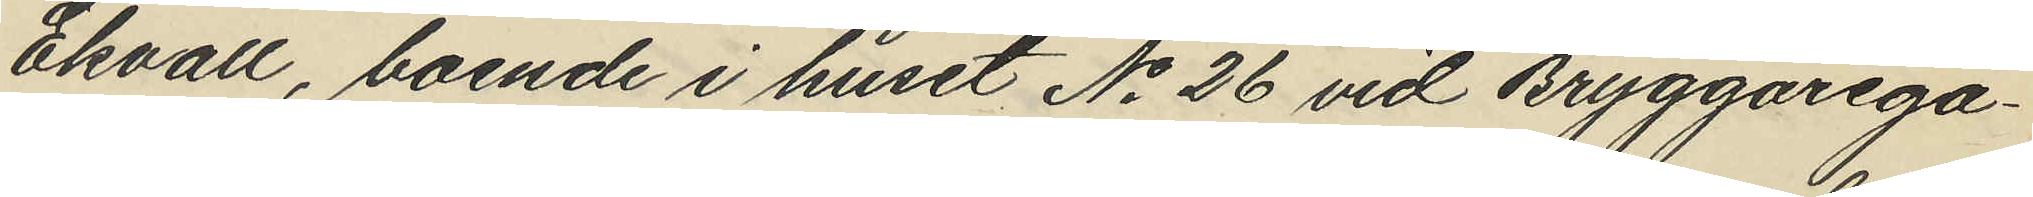Ekvall, boende i huset No 26 vid Bryggarega¬
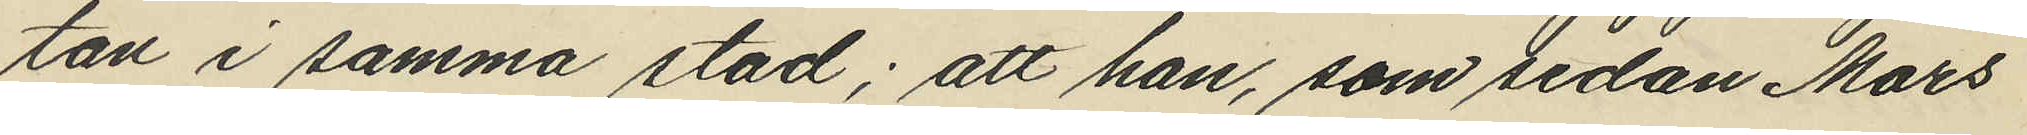tan i samma stad; att han, som sedan Mars
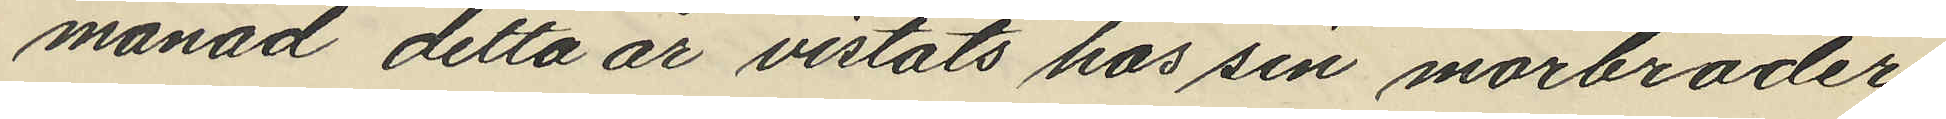månad detta år vistats hos sin morbroder
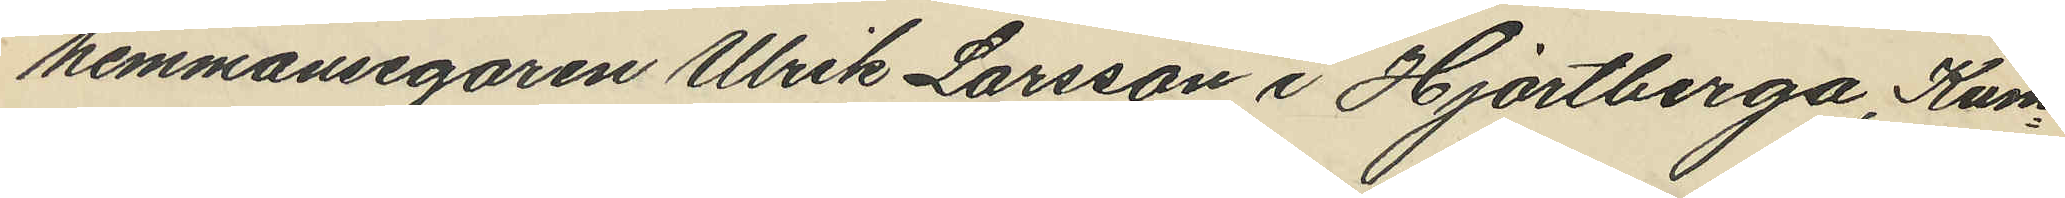hemmansegaren Ulrik Larsson i Hjortberga, Kum¬
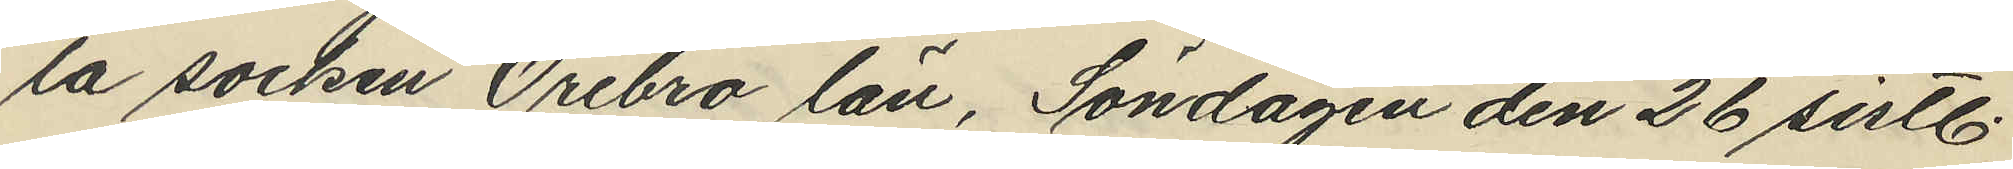la socken Örebro län, Söndagen den 26 sistl.
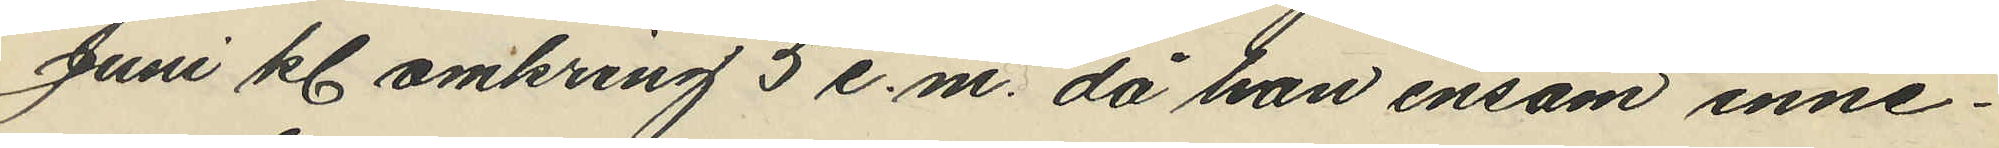Juni kl. omkring 5 e.m. då han ensam inne¬
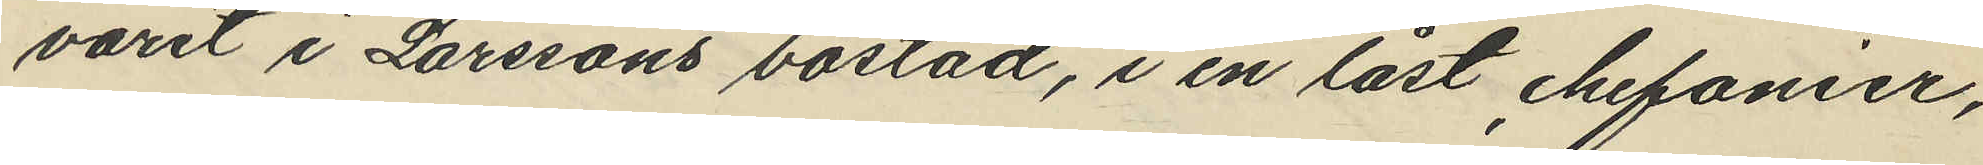varit i Larssons bostad, i en låst chefonier,
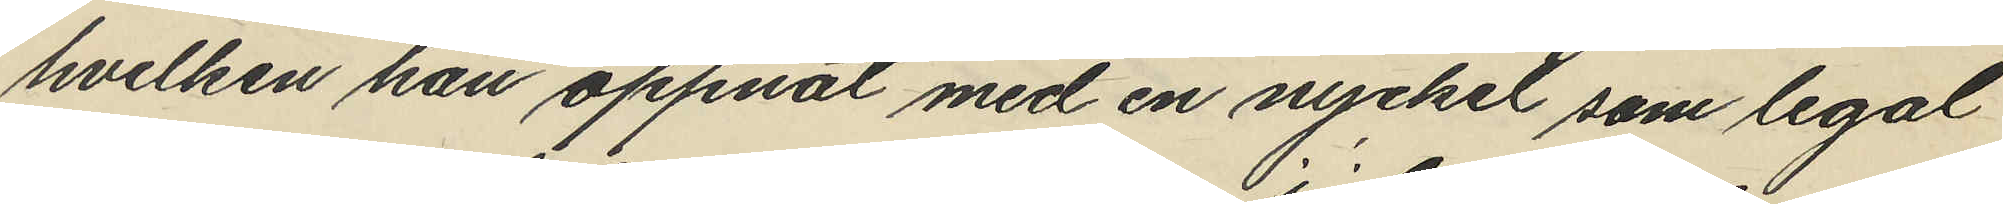hvilken han öppnat med en nyckel som legal
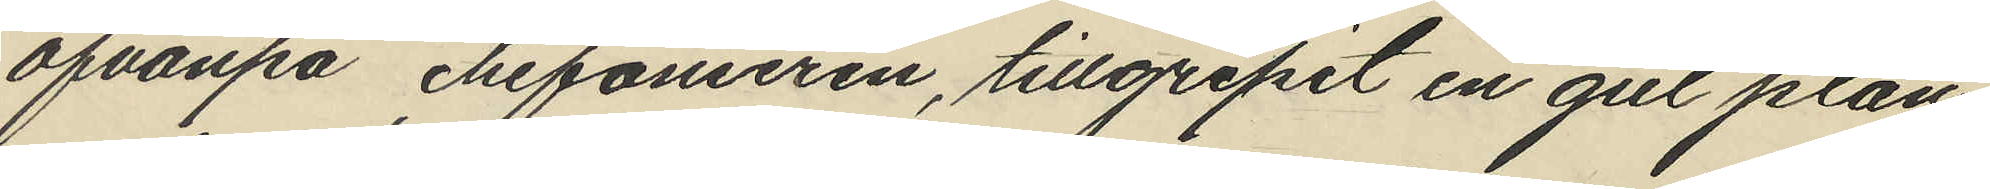ofvanpå chifonieren, tillgripit en gul plån¬
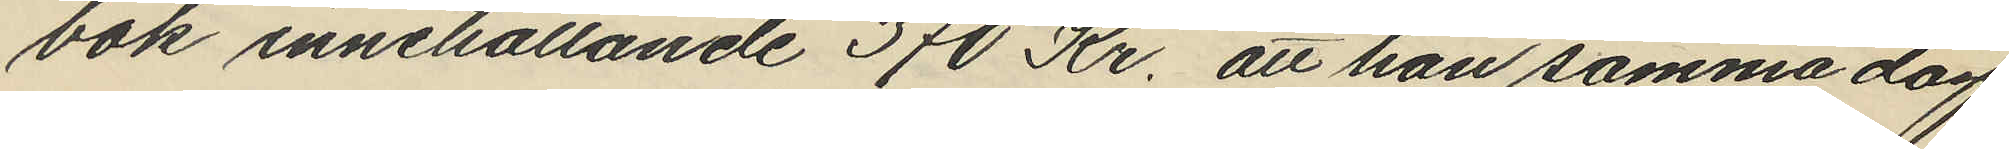bok innehållande 370 Kr. att han samma dag
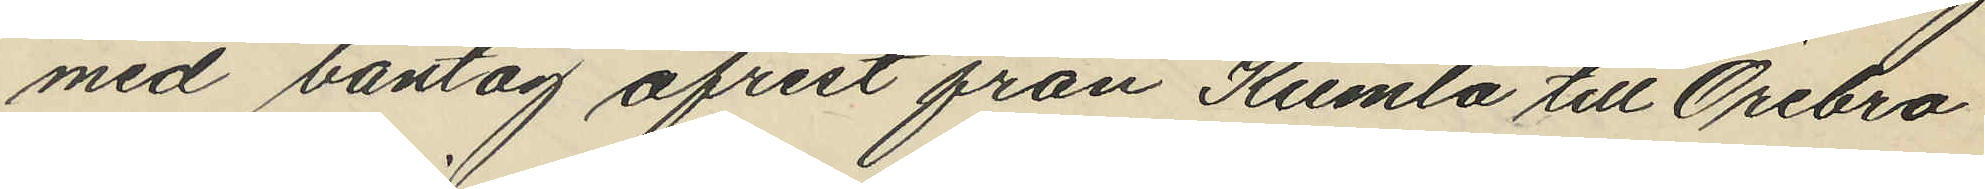med bantåg afrest från Kumla till Örebro
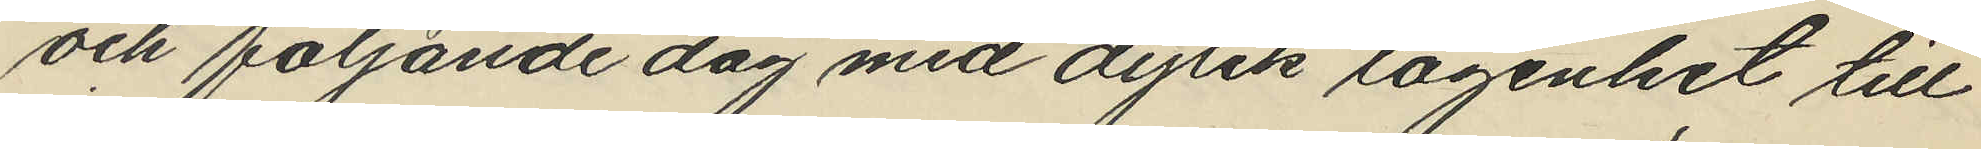och följande dag med dylik lägenhet till
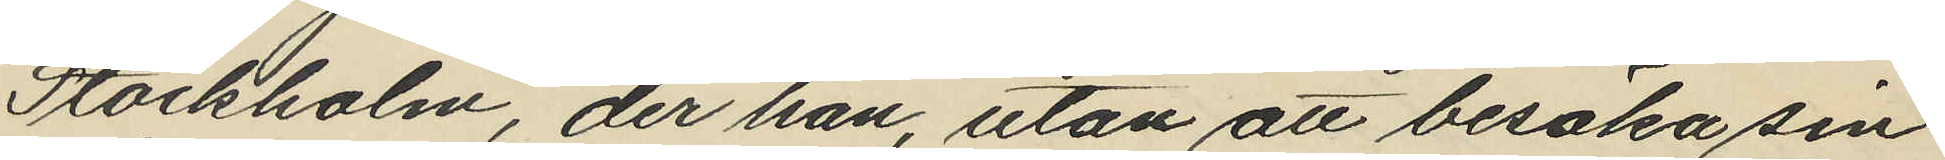Stockholm, der han, utan att besöka sin
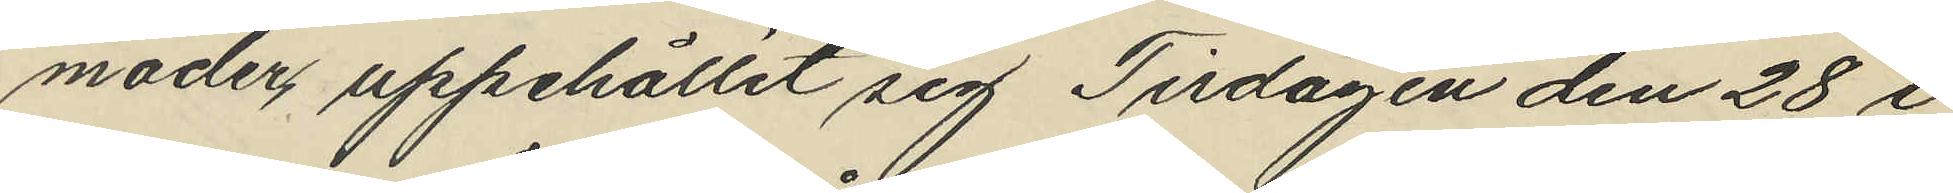moder uppehållit sig Tisdagen den 28 i
